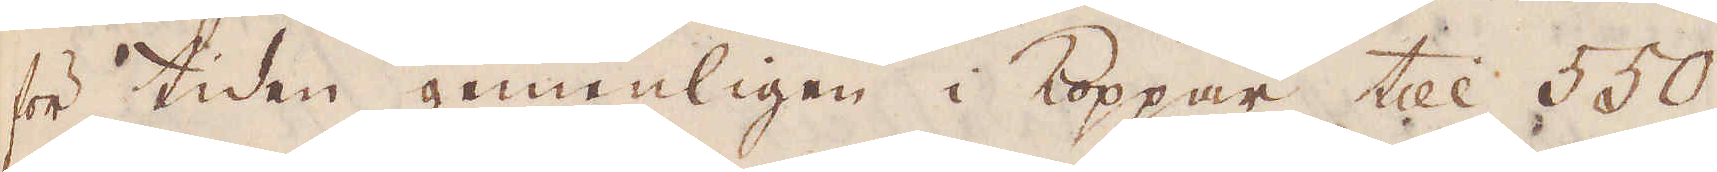för tiden gemenligen i Koppar till 550
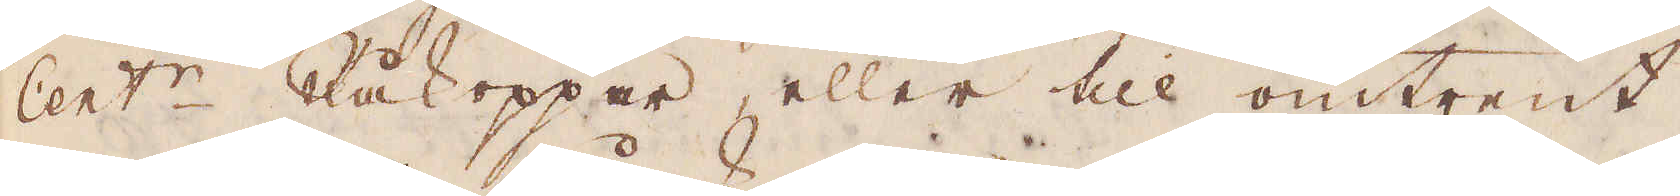Cent:r Råkoppar, eller till omtrent
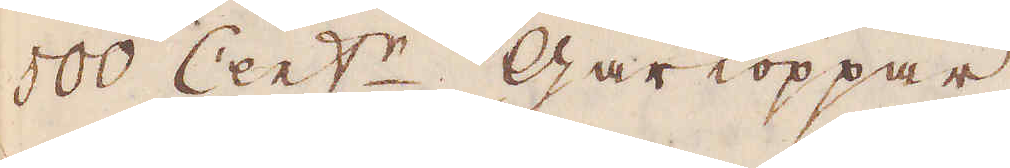500 Cent:r Gårkoppar.
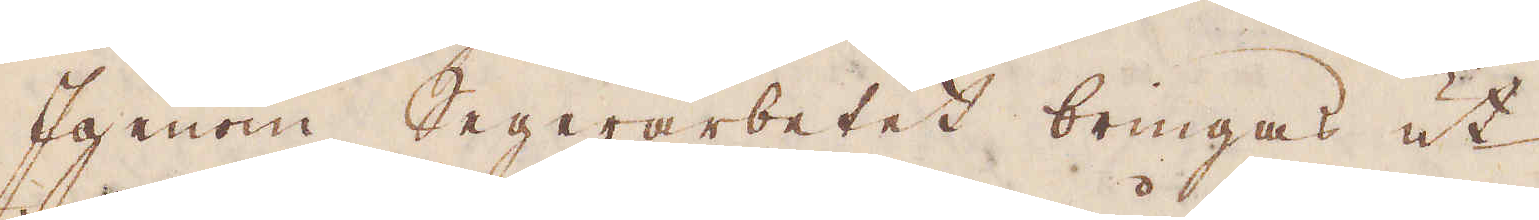Igenom Segerarbetet bringas ut
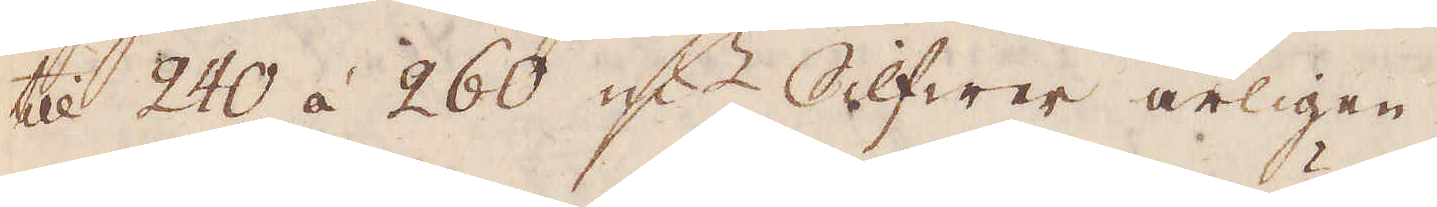till 240 á 260 qv:r Slfwer årligen.
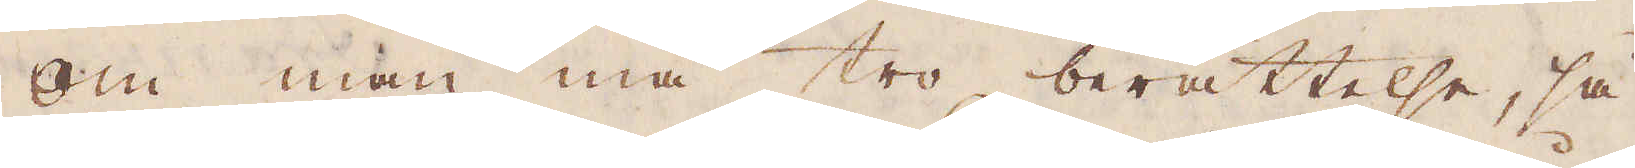Om man må tro berättelse, så
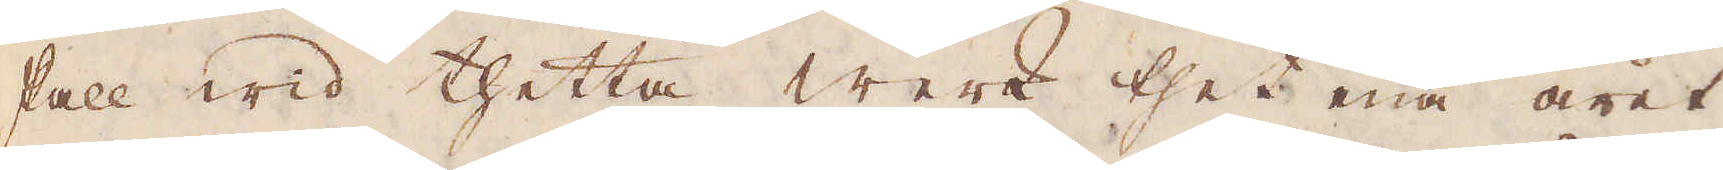skall wid thetta werk thet ena året
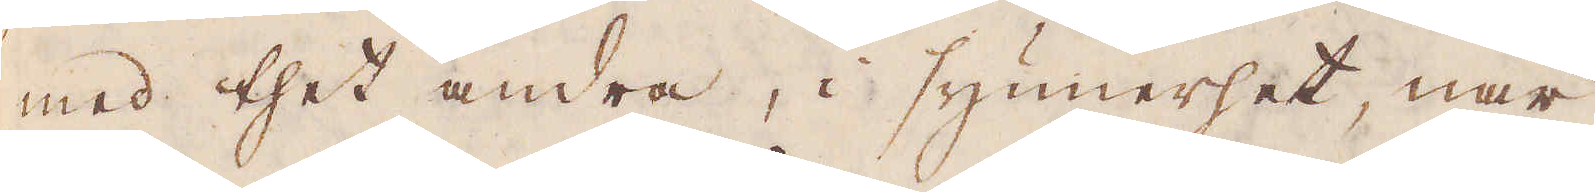med thet andra, i synnerhet, när
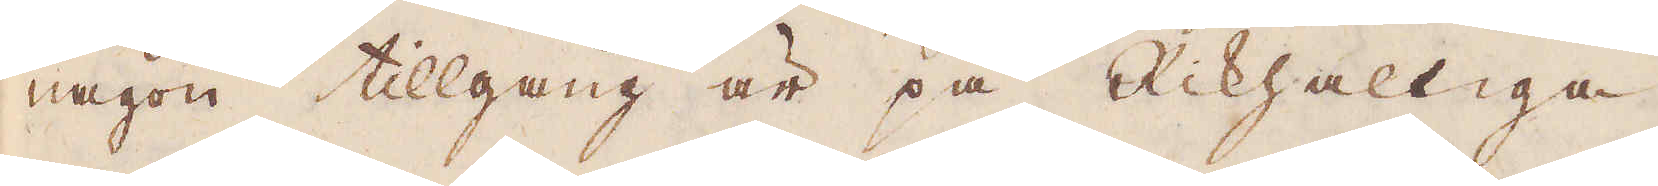någon tillgång är på Rikhaltiga
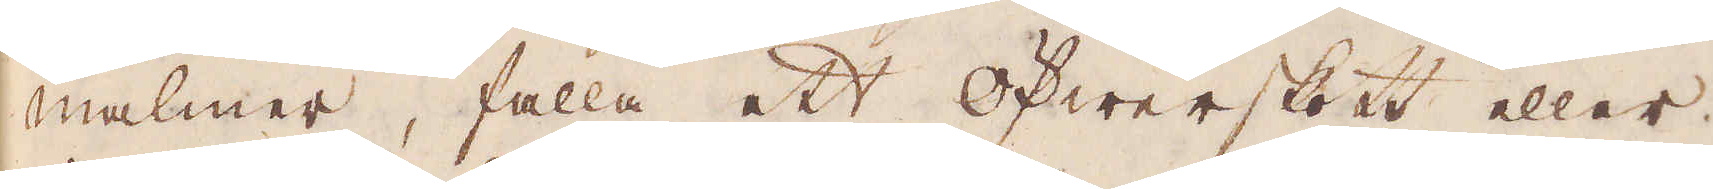malmer, falla ett öfwerskott eller
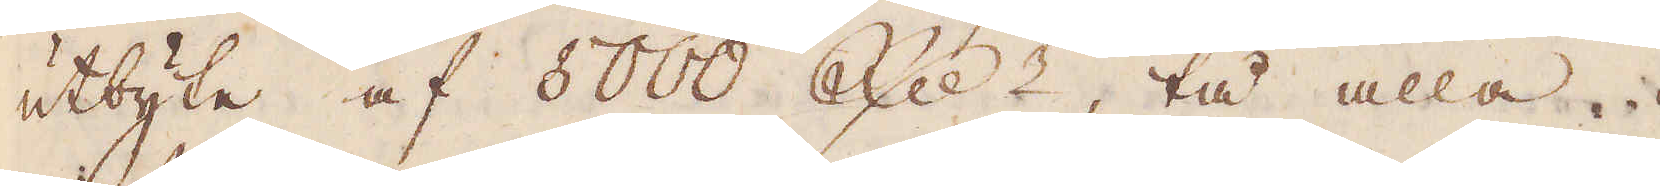utbyte af 8000 R:dr, tå alla
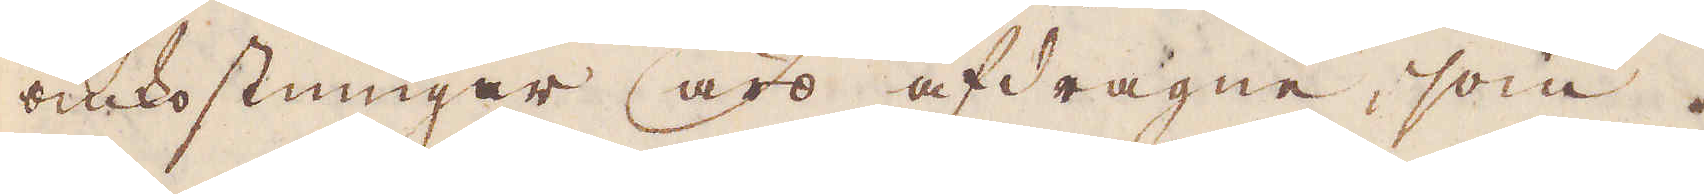omkostningar äro afdragne, som
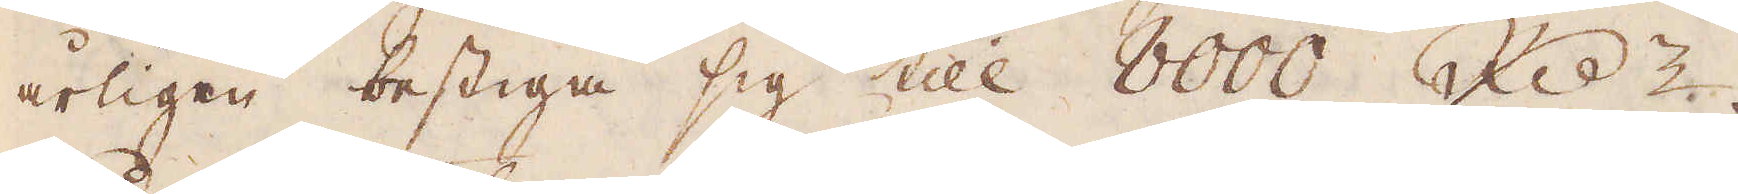årligen bestiga sig till 8000 R:dr.
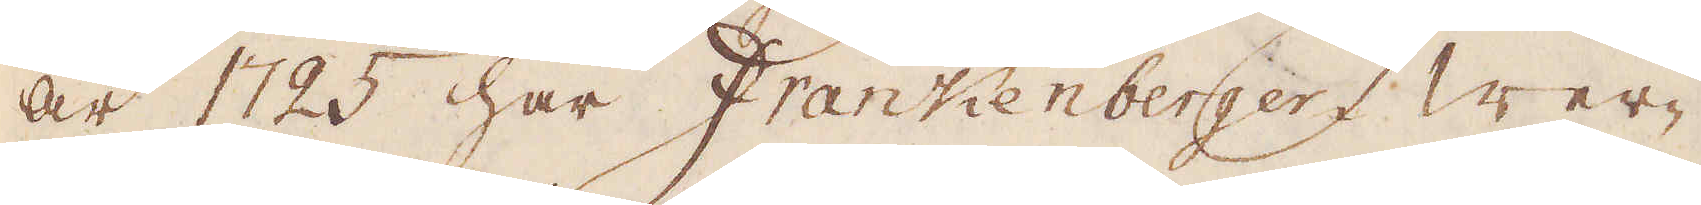År 1725 har Frankenbergers wer-
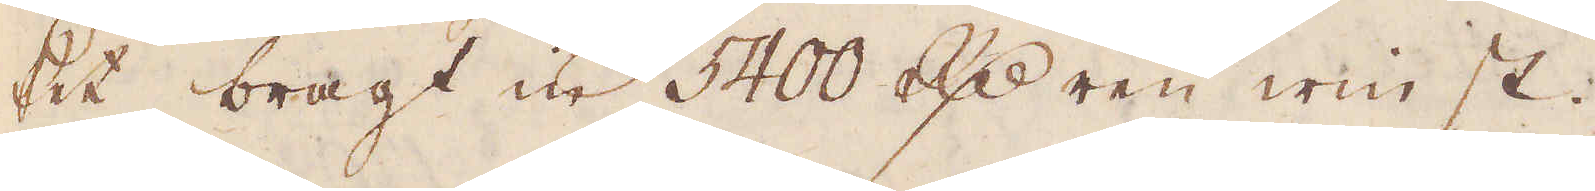ket bragt in 5400 R:dr ren winst.
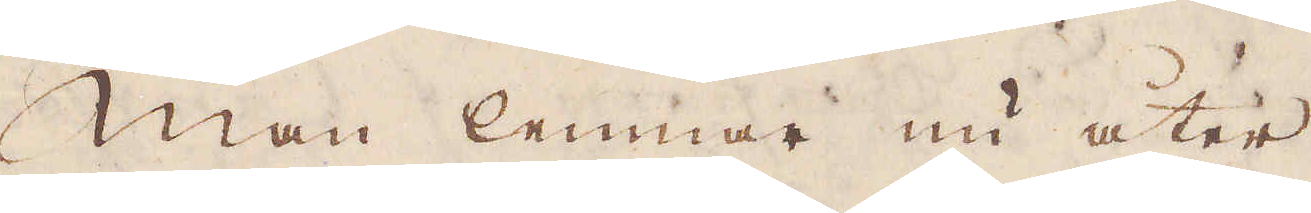Man lemnar nu åter
